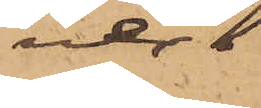ver.
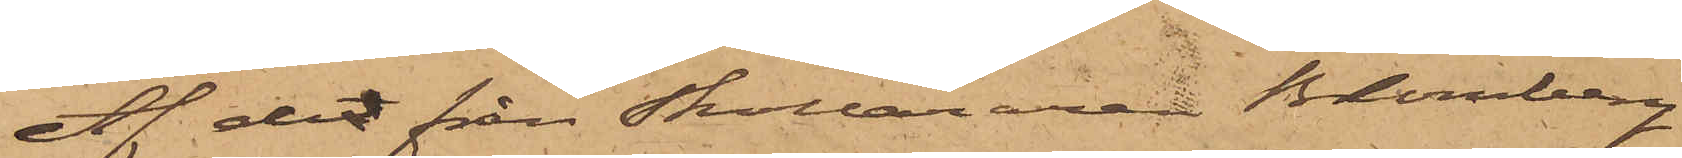Af det från Skolläraren Blomberg
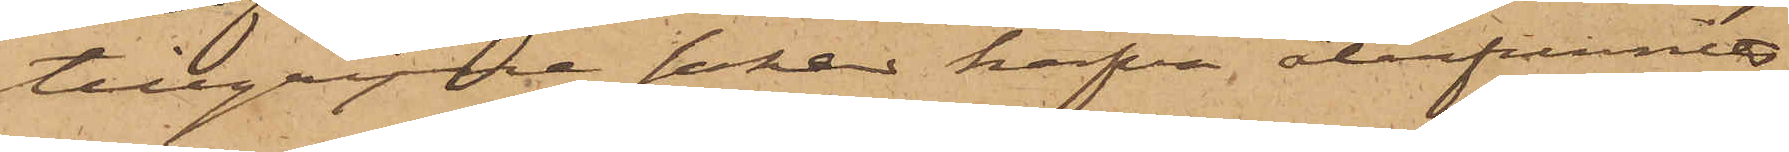tillgripne saker hafva återfunnits,
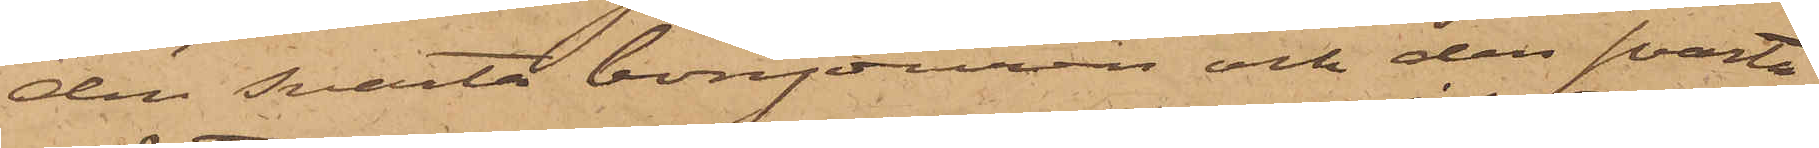den svarta bonjouren och den svarta
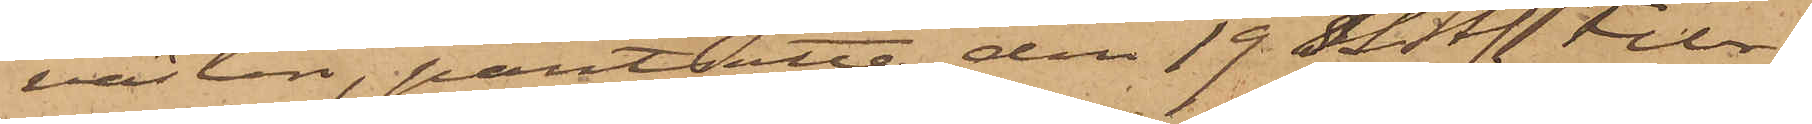västen, pantsatte den 19 sistl. Febr.
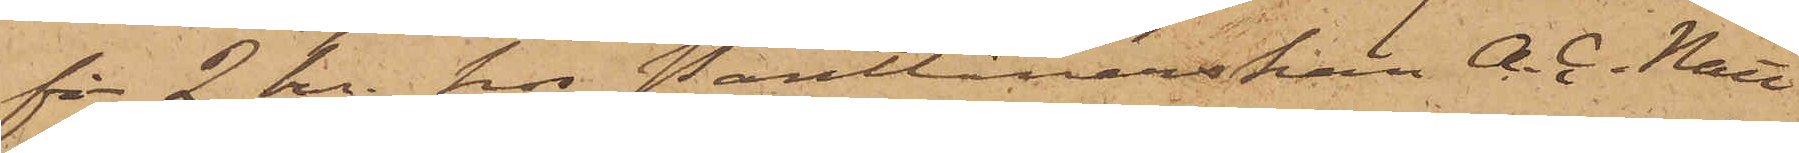för 2 kr. hos Pantlånerskan A. G. Nätt
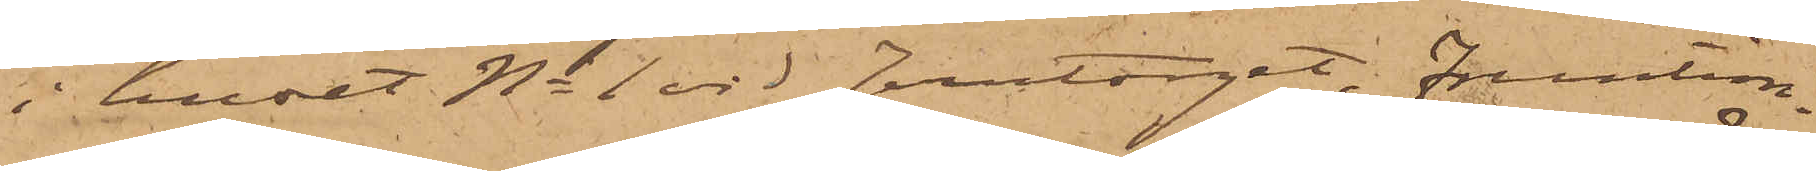i huset No 1 vid Jerntorget, Fruntim¬
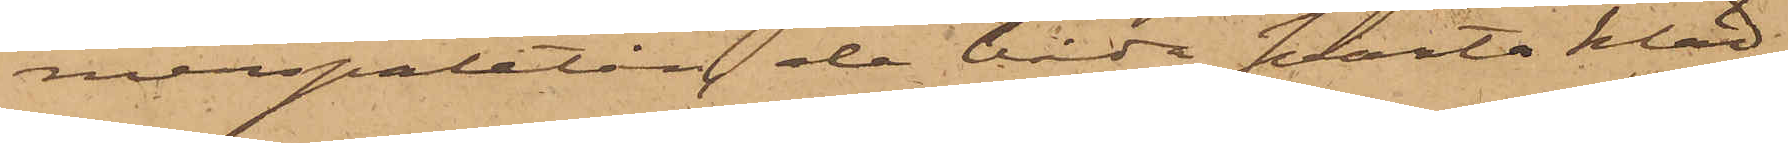merspaletån, de båda svarta kläd¬
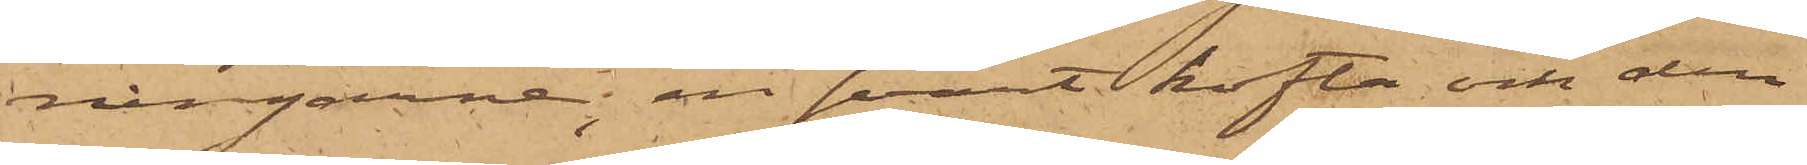ningarne, en svart kofta och den
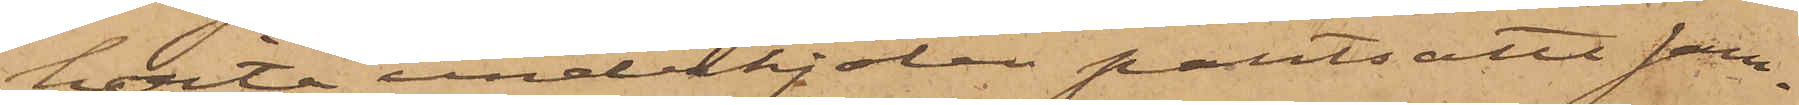hvita underkjolen pantsatte sam¬
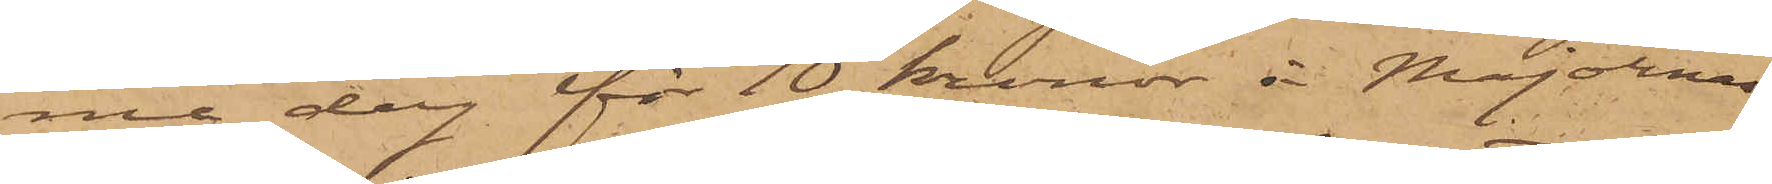ma dag för 10 kronor å Majornas
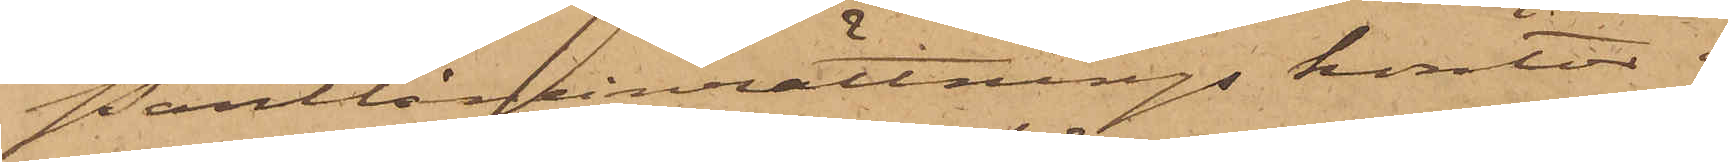Pantlåneinrättnings kontor i
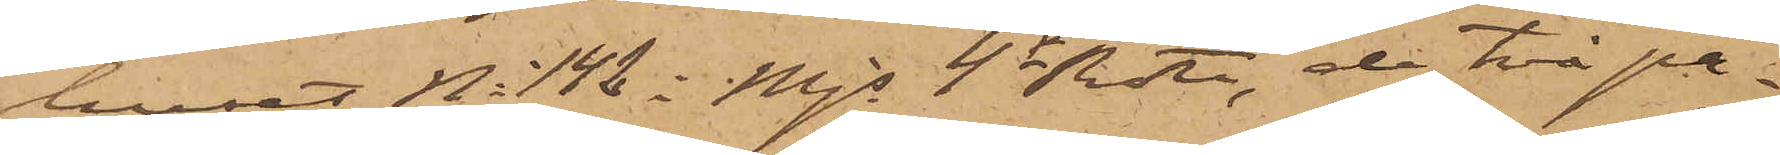huset No 142 i Mjs 4de Rote, de två pa¬
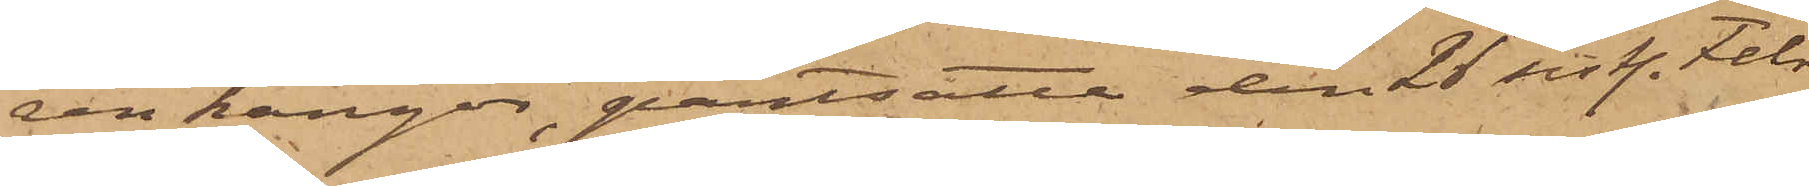ren kängor, pantsatte den 26 sistl. Febr
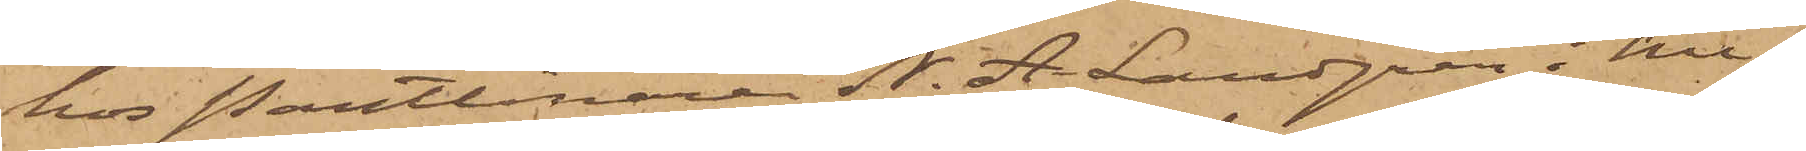hos Pantlånaren N. A. Landgren i hu¬
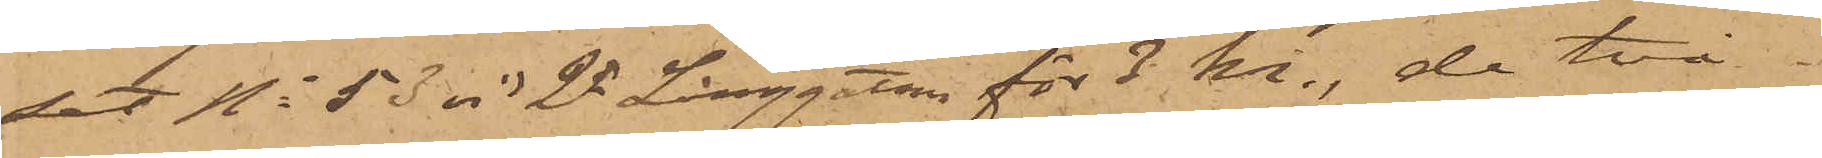set No 53 vid 2dra Långgatan för 3 kr., de två
